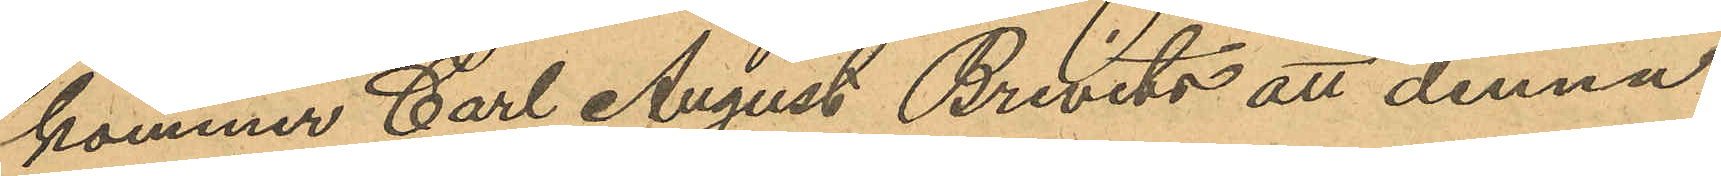kommer Carl August Brevitz att denna
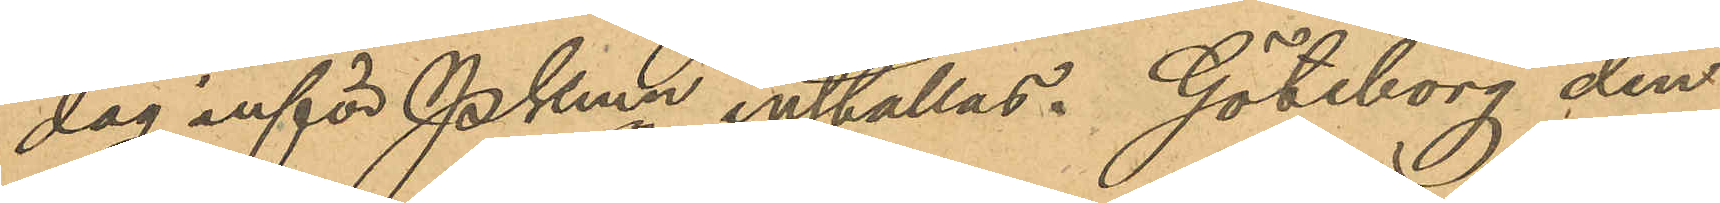dag inför PKmn inställas. Göteborg den
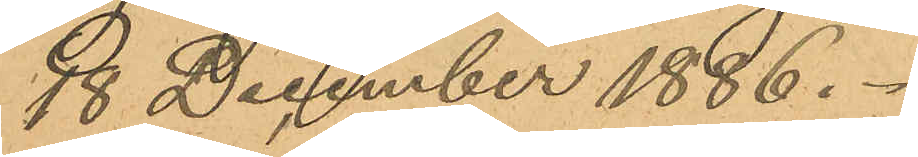18 Deccember 1886.
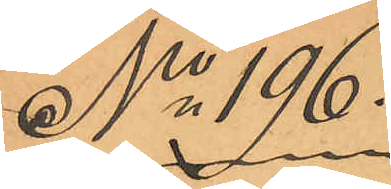No 196.
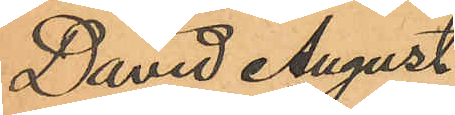David August
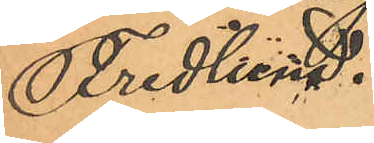Fridlund.
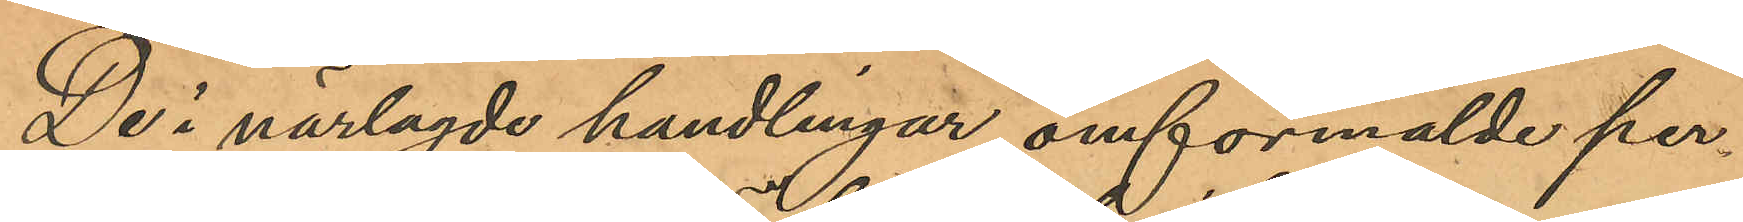De i närlagde handlingar omförmälde per¬
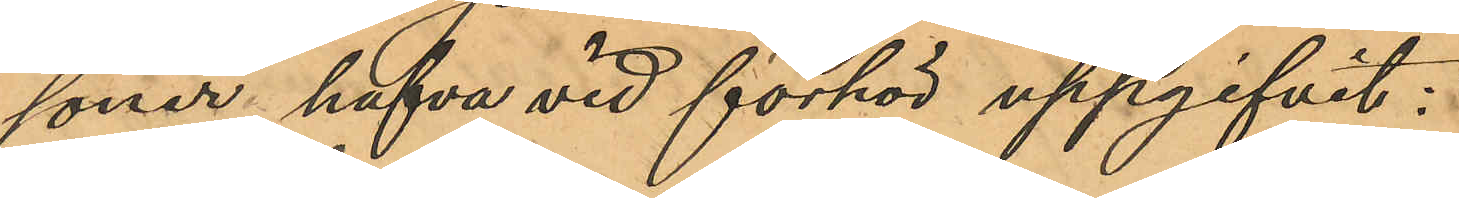soner hafva vid förhör uppgifvit:
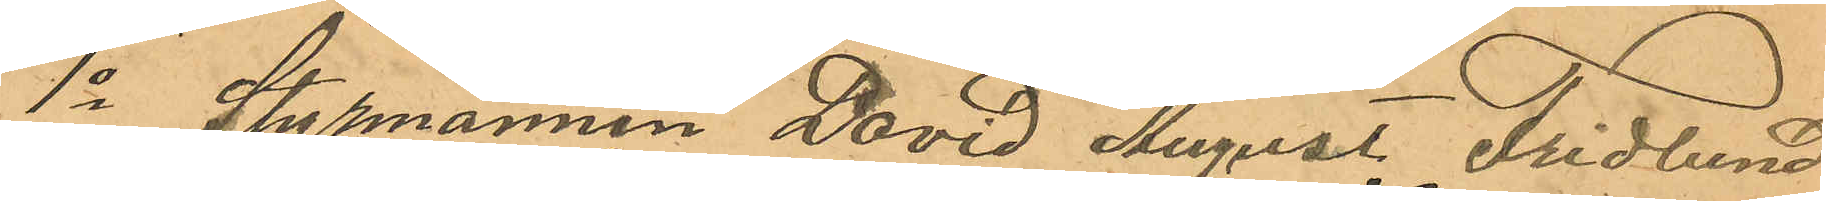1o Styrmannen David August Fridlund
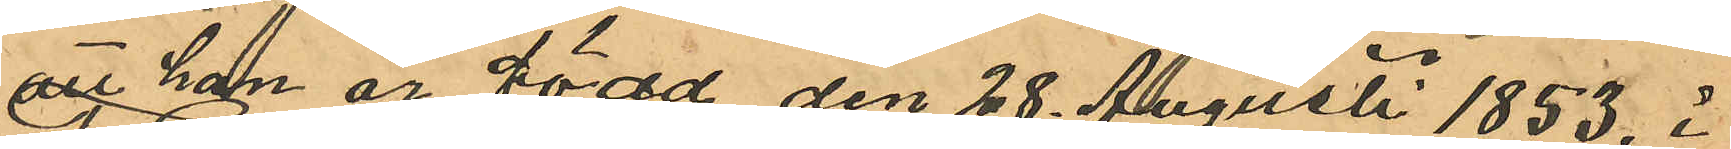att han är född den 28 Augusti 1853 i
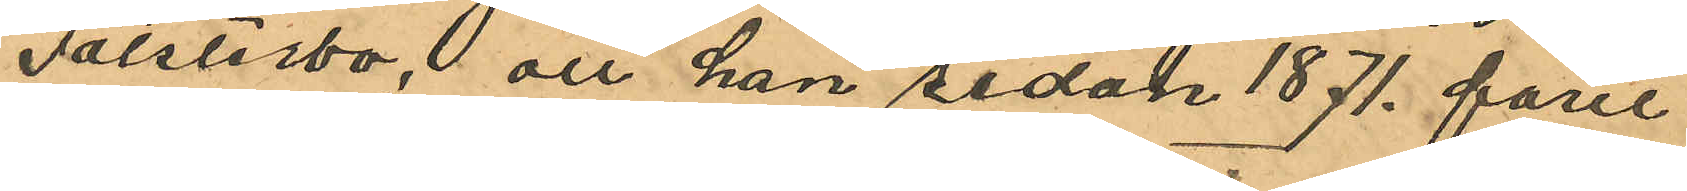Falsterbo, att han sedan 1871 farit
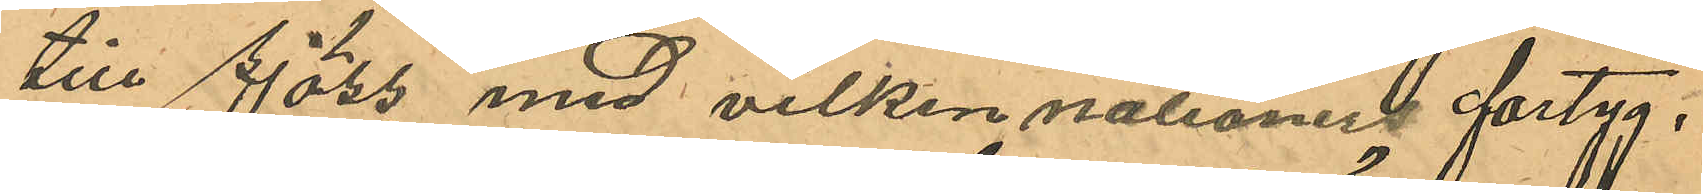till sjöss med vilken nationers fartyg,
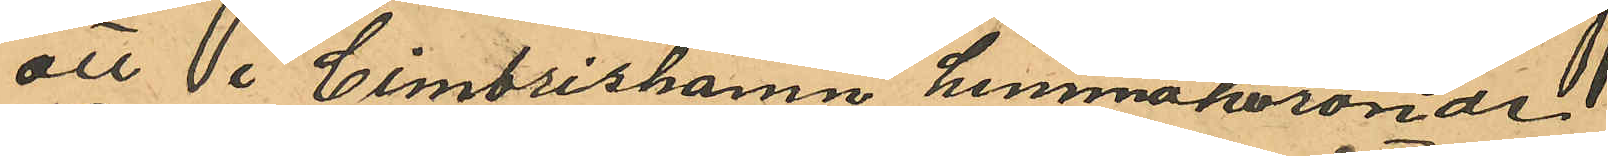att i Simrishamn hemmahörönde
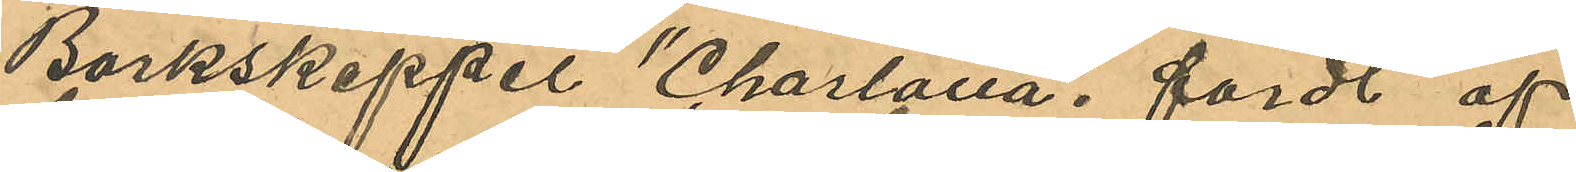Barkskeppet "Charlotta", fördt af
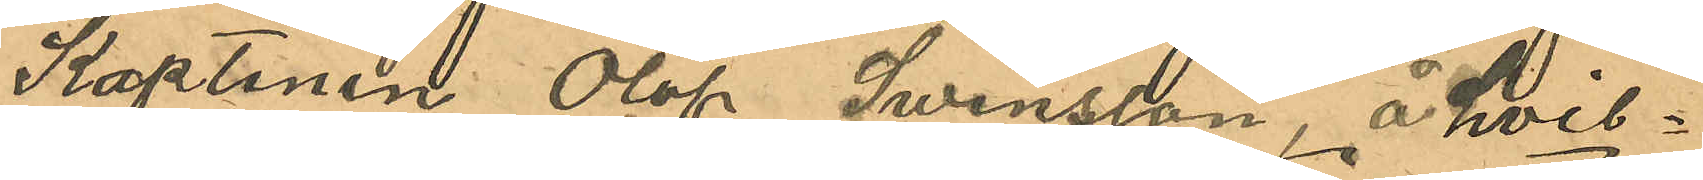Kaptenen Olof Swensson, å hvil¬
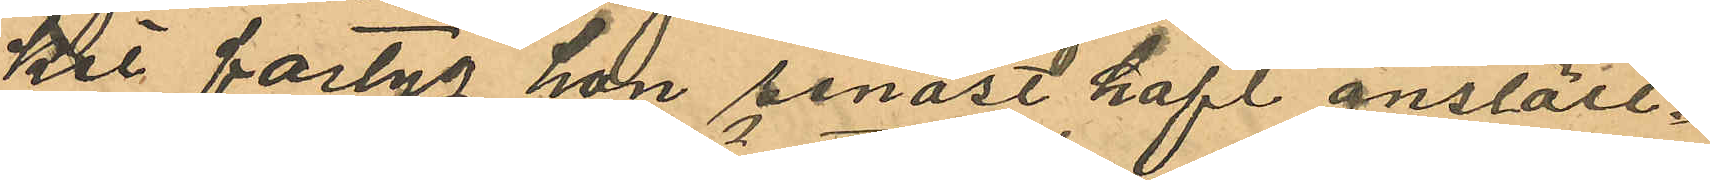ket fartyg han senast haft anställ¬
